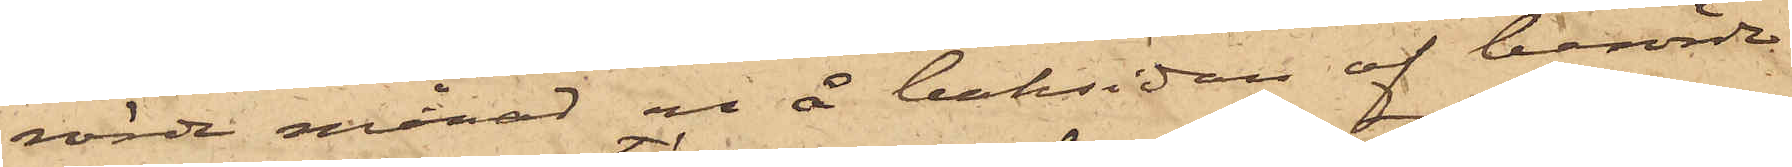rörde månad en å baksidan af berörde
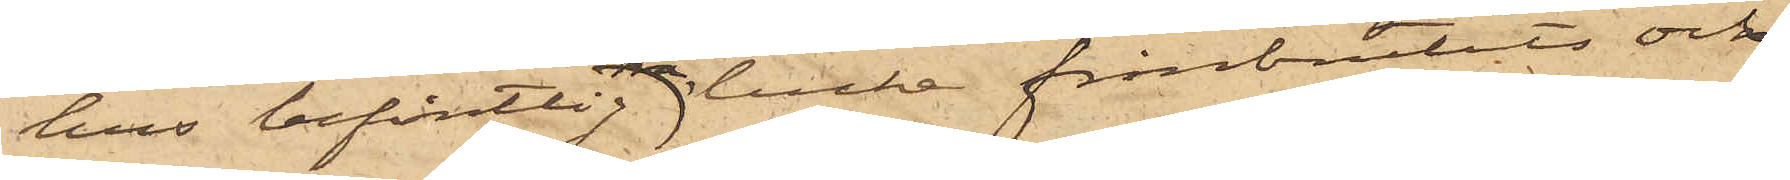hus befintlig trälucka frånbrutits och
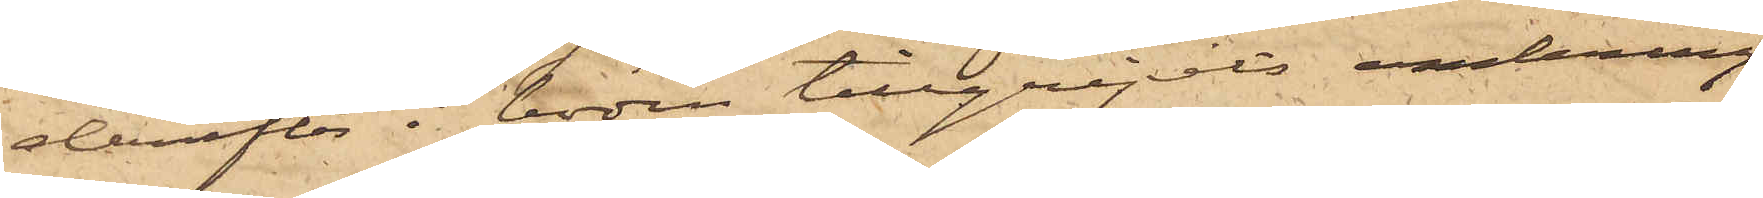derefter i boden tillgripits omkring
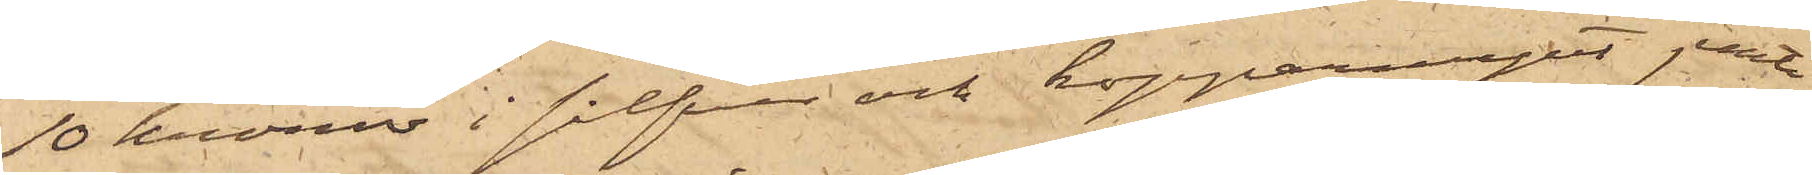10 kronor i silfver och kopparmynt jemte
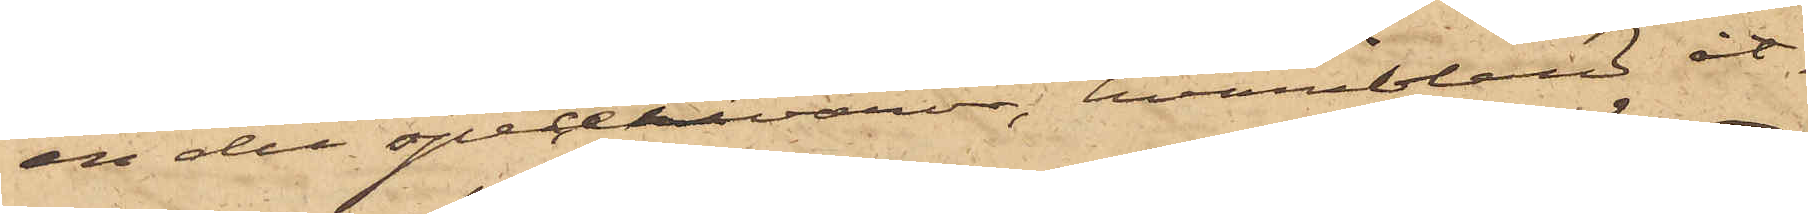en del specerivaror, hvaribland åt¬
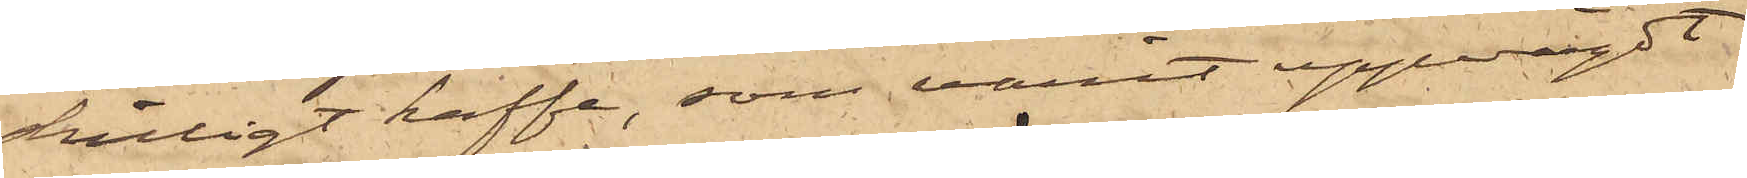skilligt kaffe, som varit uppvägdt
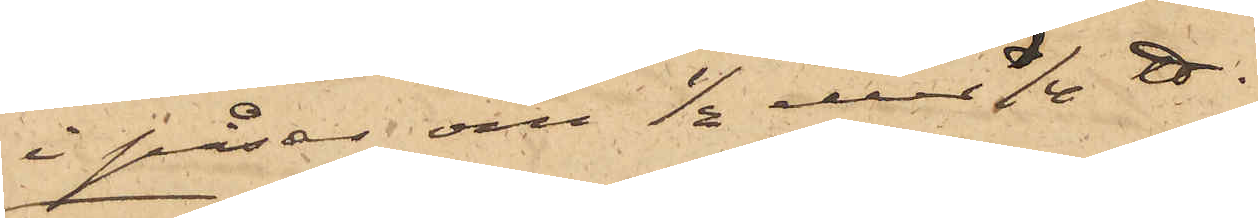i påsar om ½ eller 1/4 ℔.
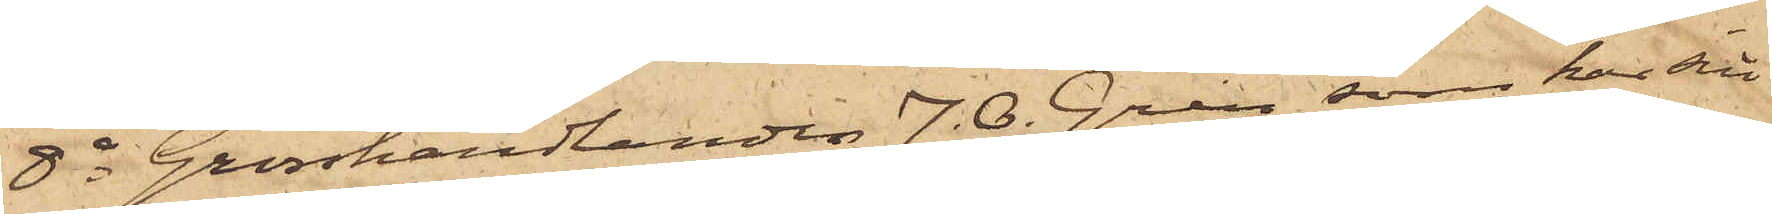8o Grosshandlanden J. O. Gren, som har sitt
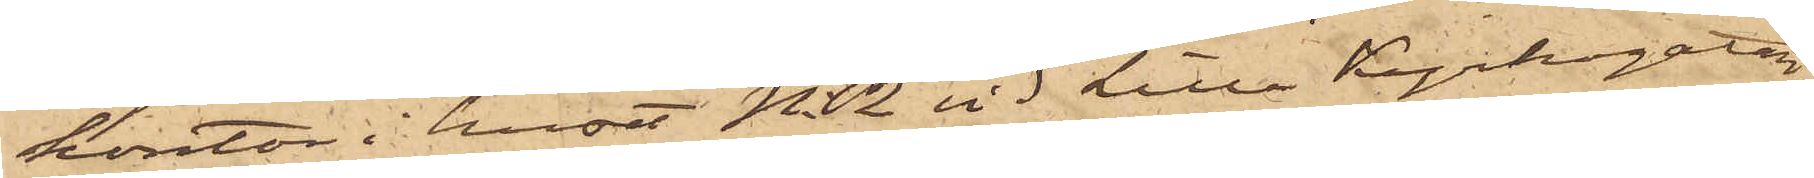kontor i huset No 2 vid Lilla Kyrkogatan,
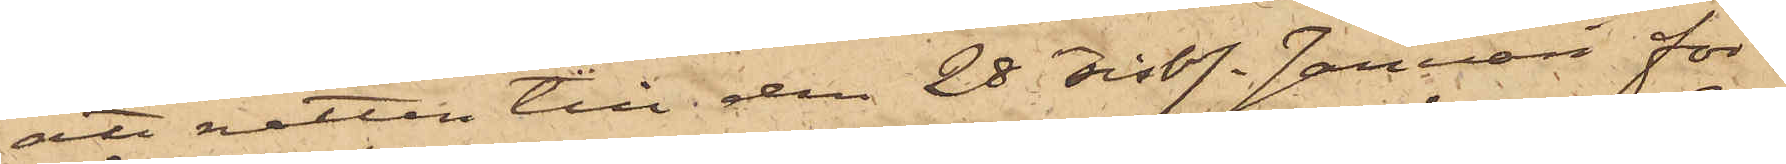att natten till den 28 sistl. Januari för¬
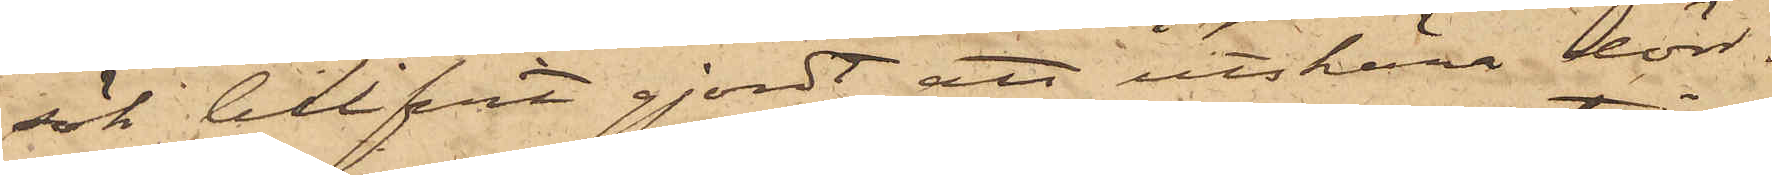sök blifvit gjordt att utskära dörr¬
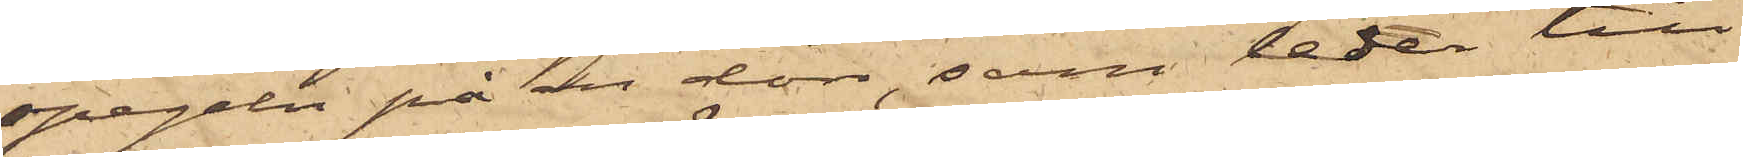spegeln på en dörr, som leder till
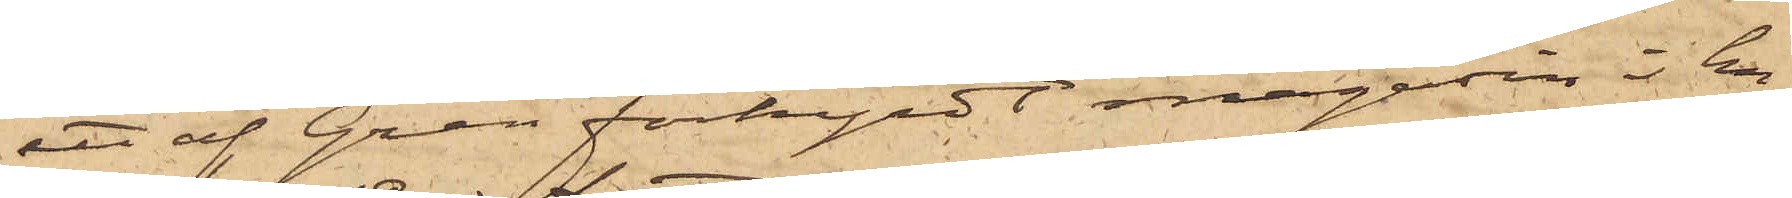ett af Gren förhyrdt magasin i hu¬
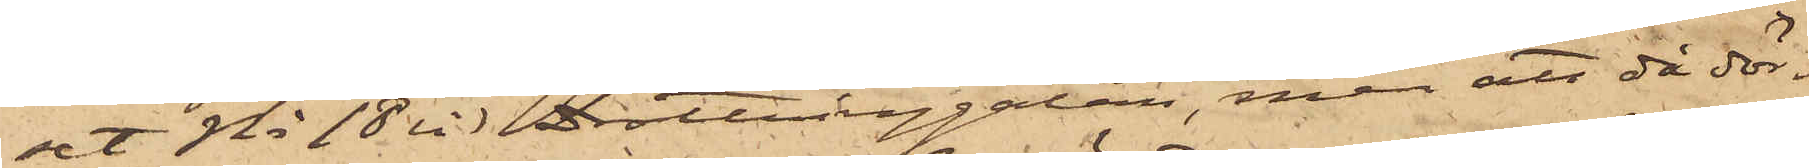set No 18 vid Drottninggatan, men att då dör¬
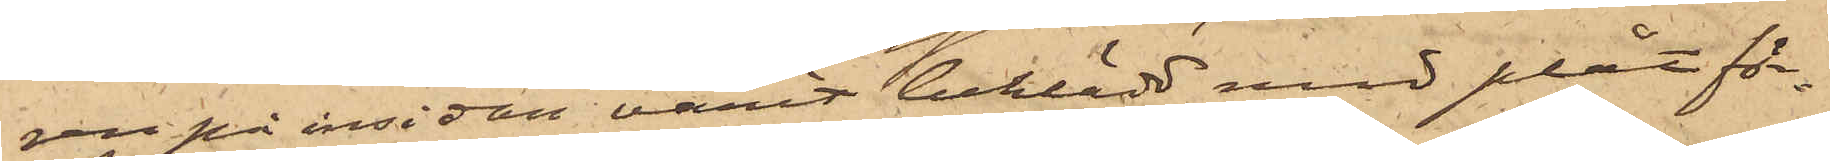ren på insidan varit beklädd med plåt för¬
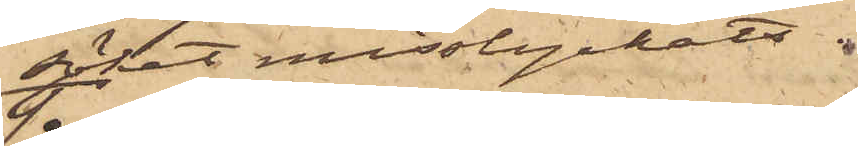söket misslyckats.
